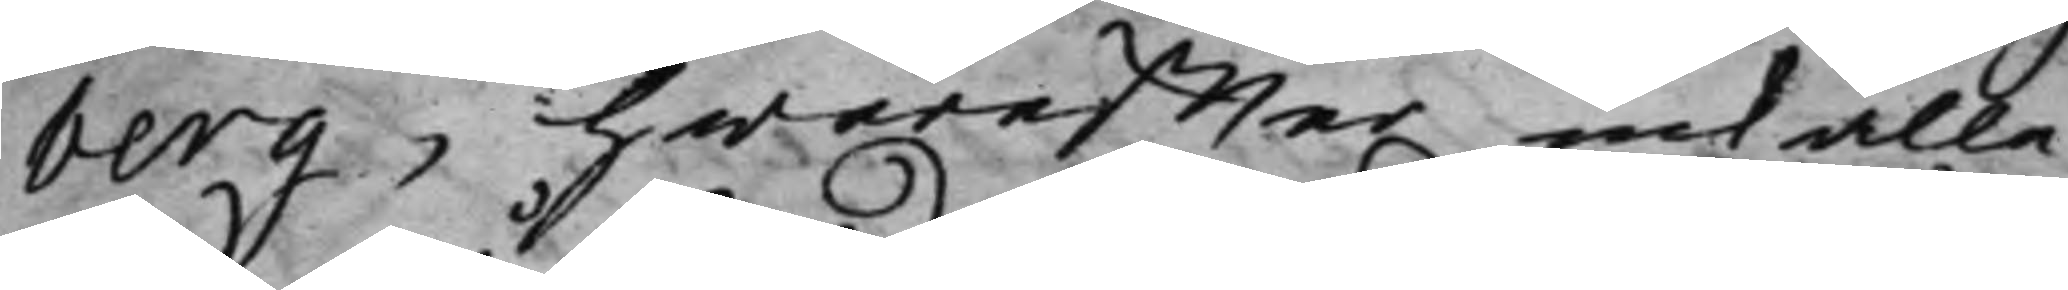berg, hwareffter inkalla¬
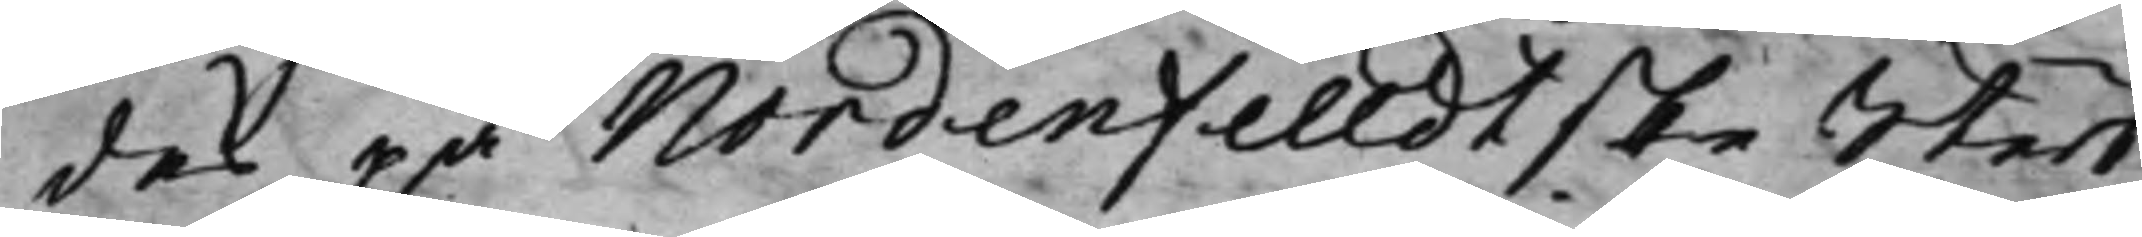des på Nordenfelldtske Sterb¬
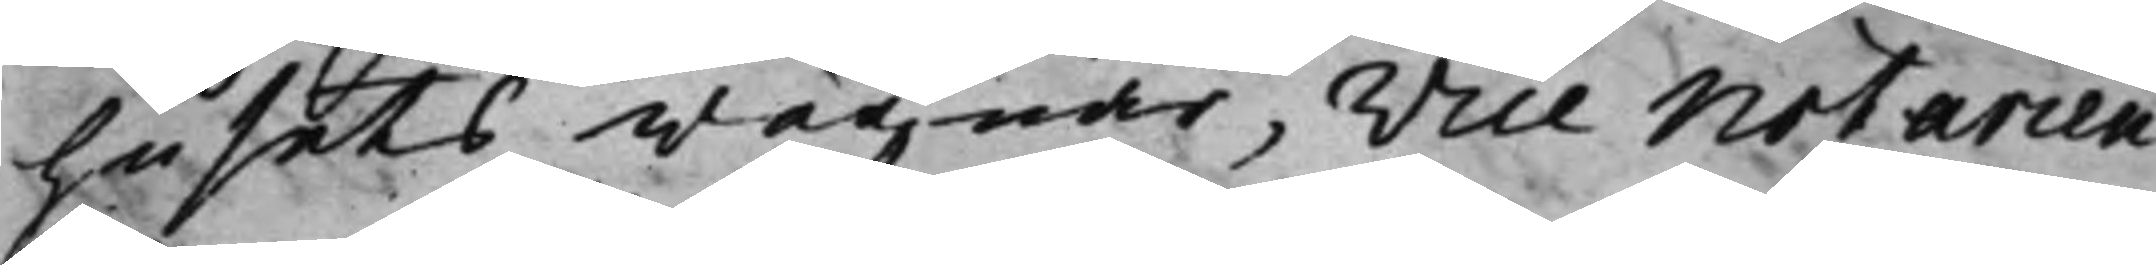husets wägnar, Vice notarien
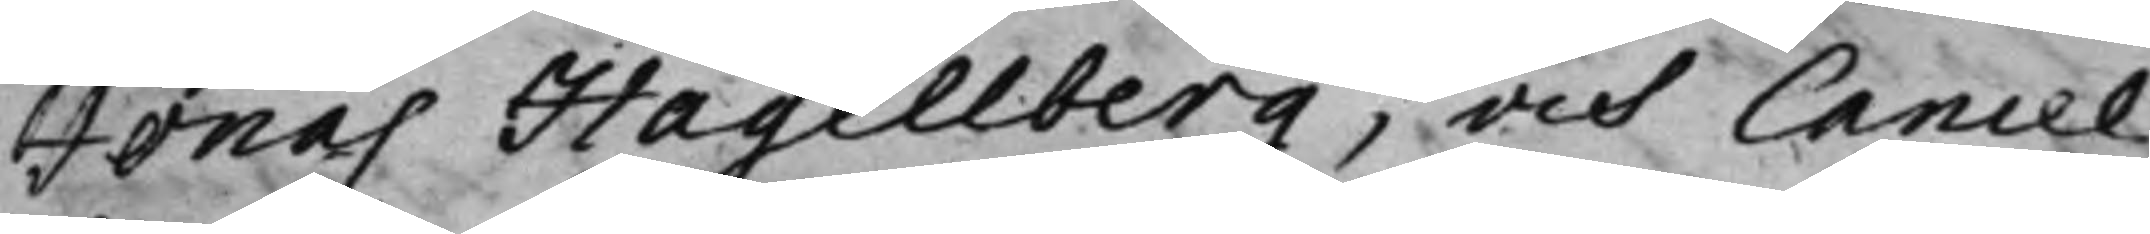Jonas Hagelberg, och Cancel¬
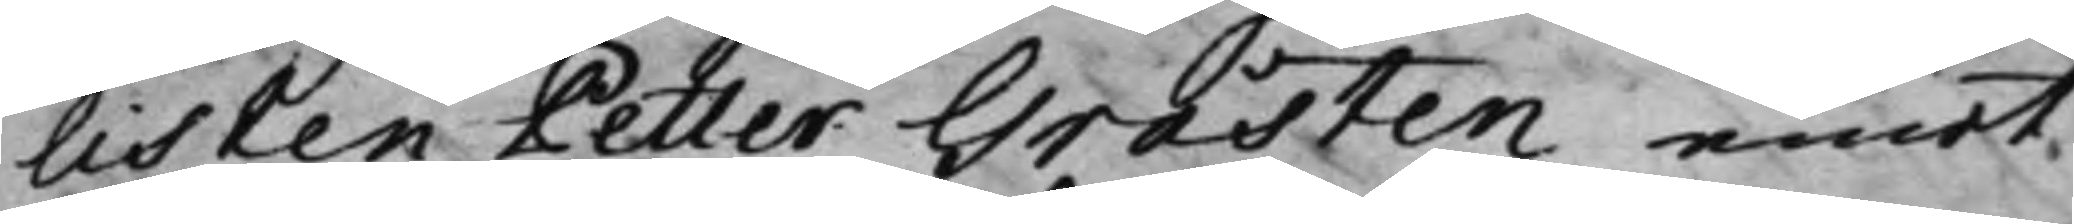listen Petter Gråsten emot
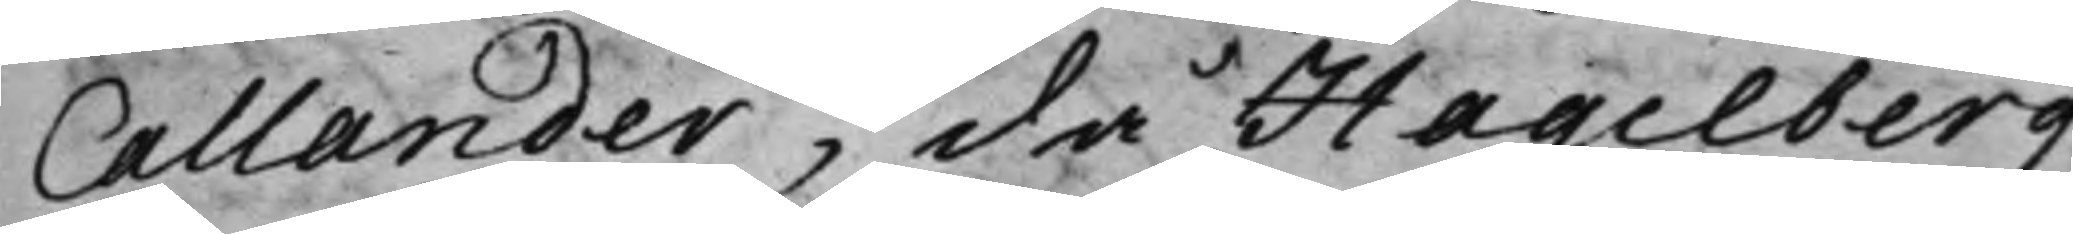Callander, då Hagelberg
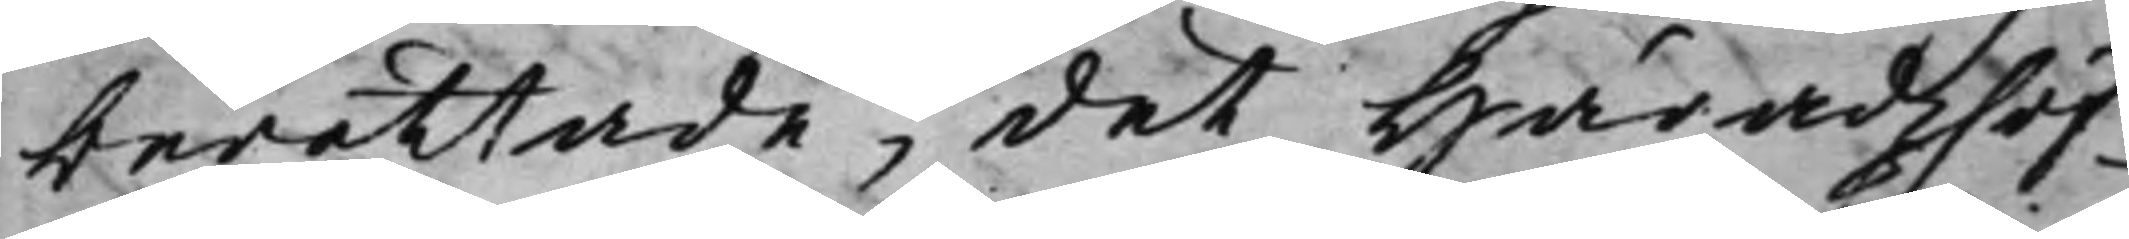berättade, det Häradzhöf¬
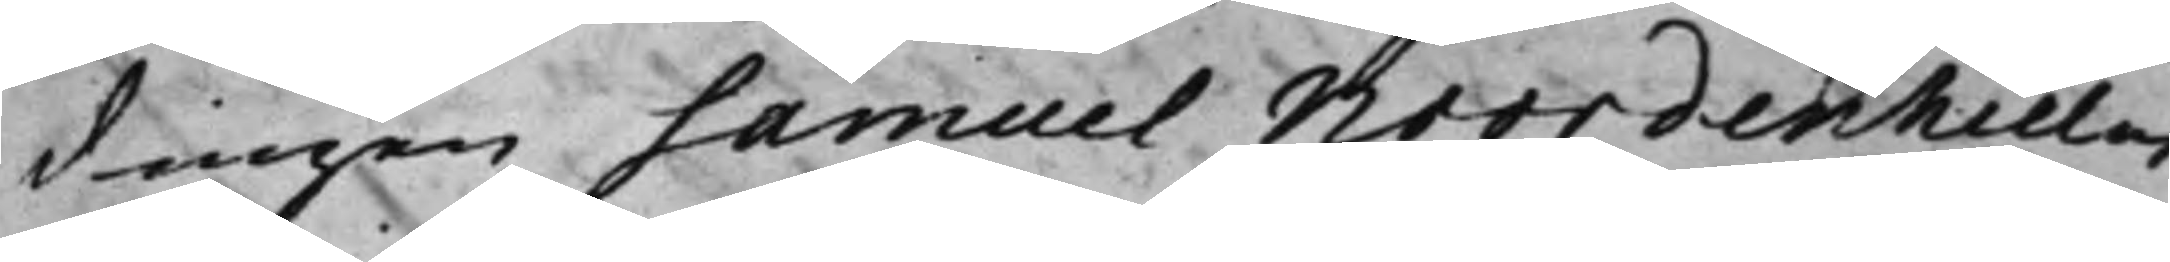dingen Samuel Noordenhielm,
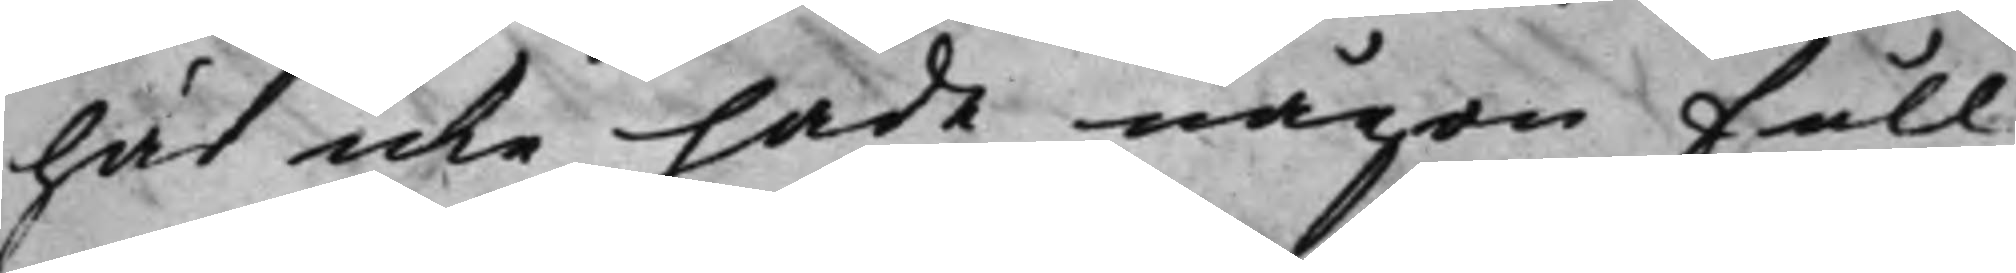här icke hade någon Full¬
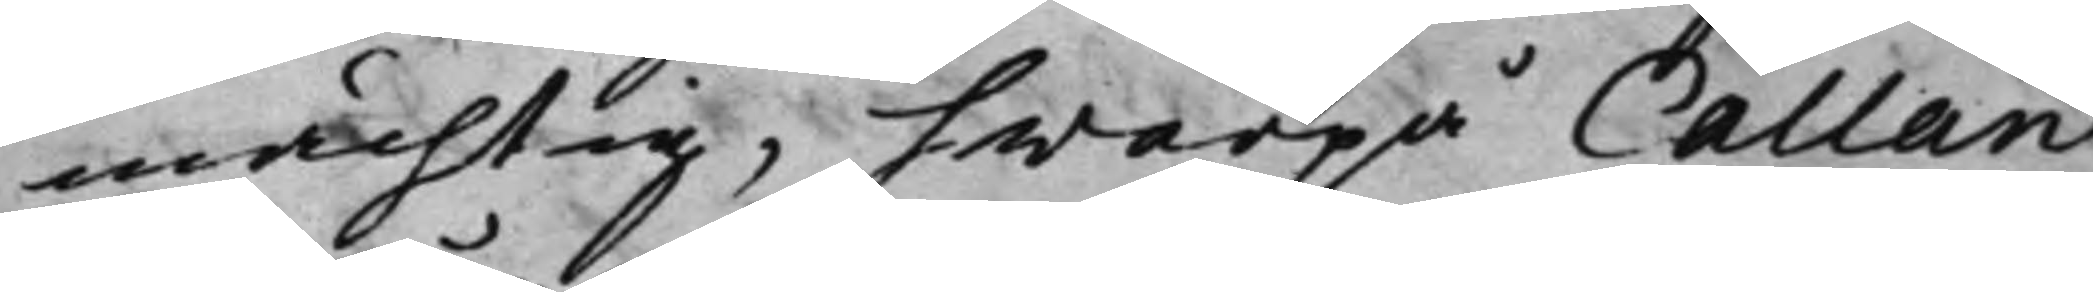mächtig, hwarpå Callan¬
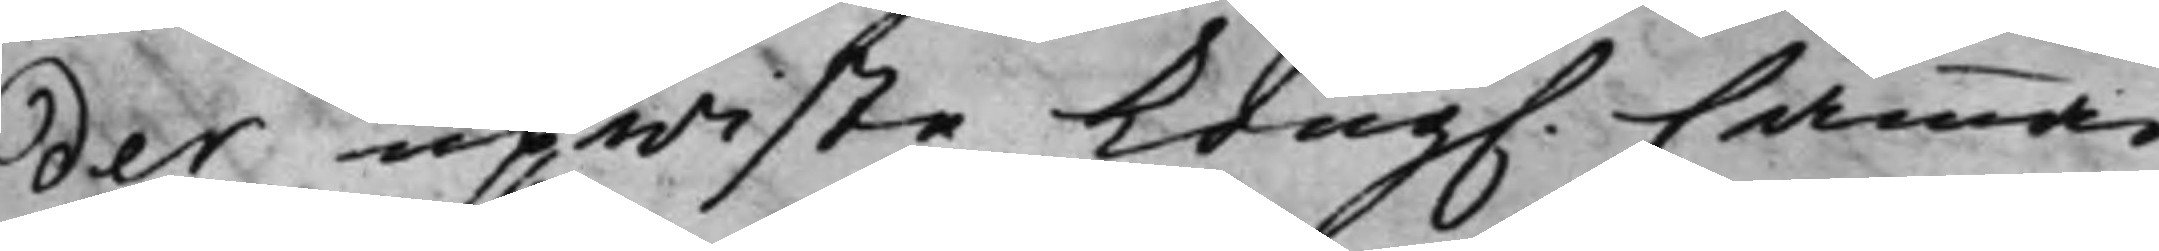der upwiste Kong. Cammar¬
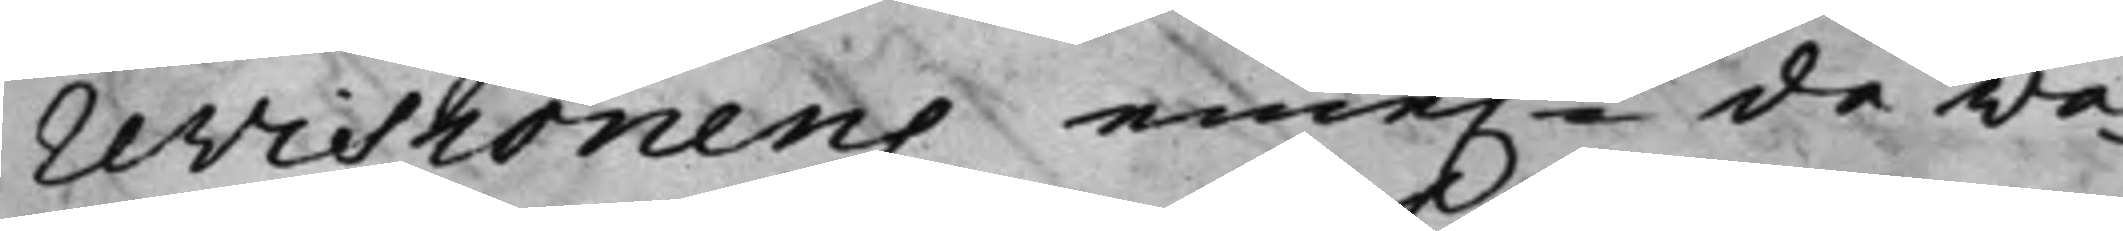revisionens eme.n då wa¬
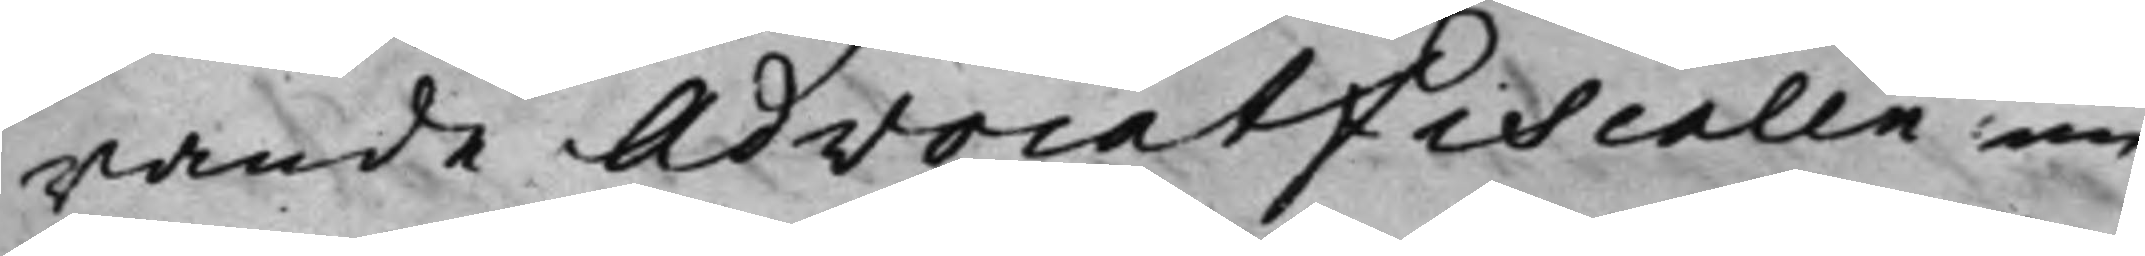rande AdvocatFiscalen nu
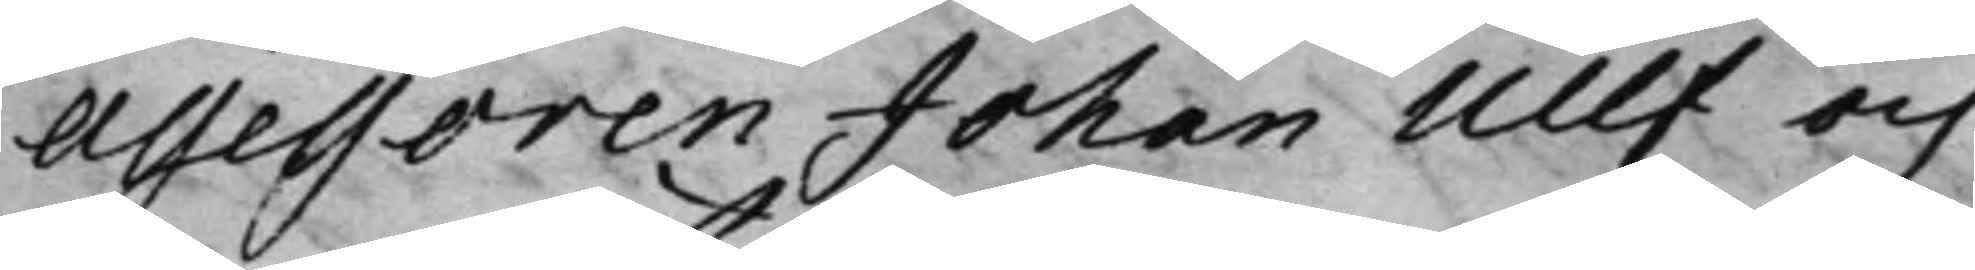Assessoren Johan Ullf och
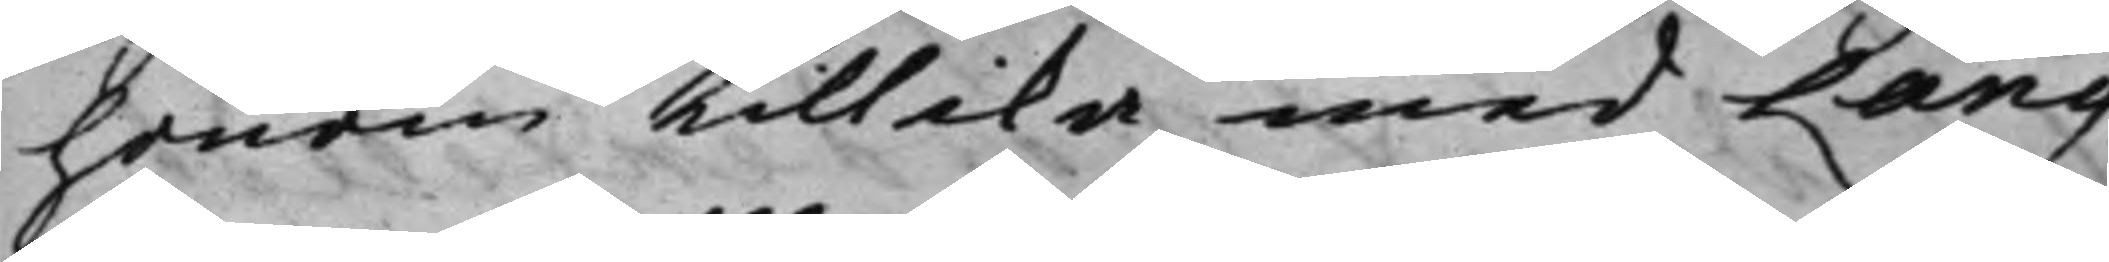honom tillika med Lang¬
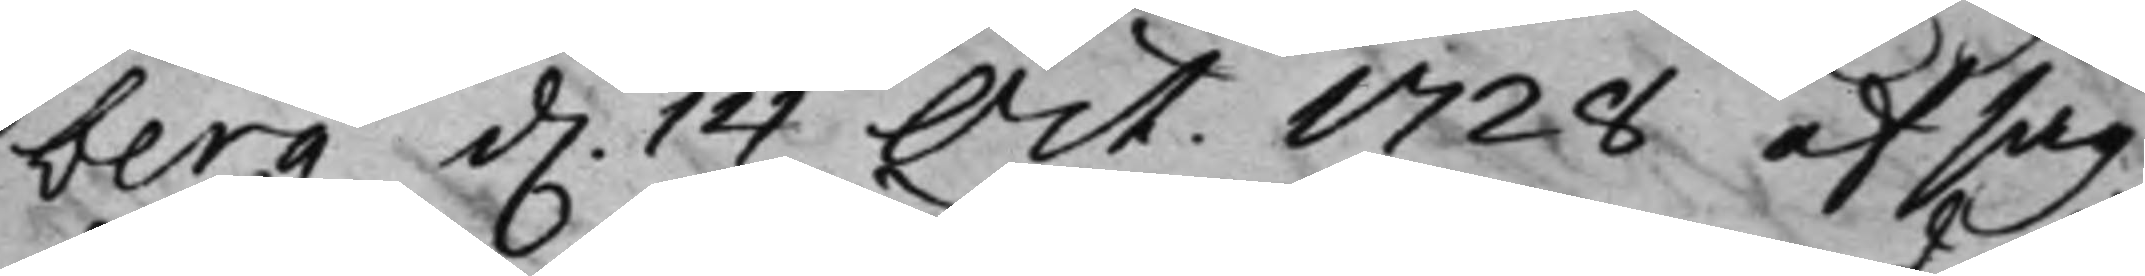berg d. 14 Oct. 1728 afsag¬
